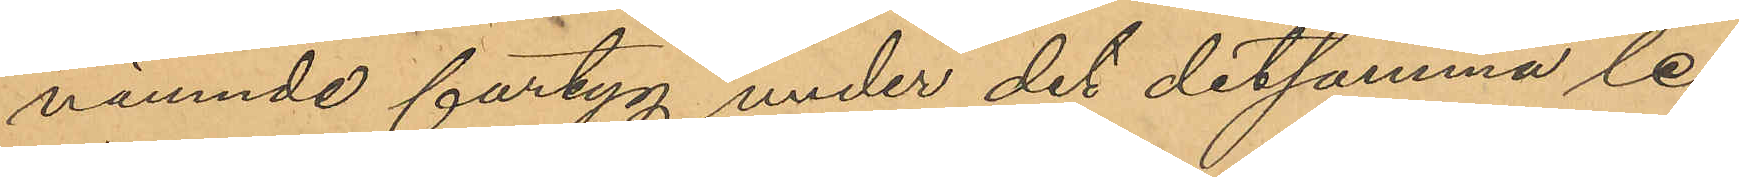nämnde fartyg under det detsamma le¬
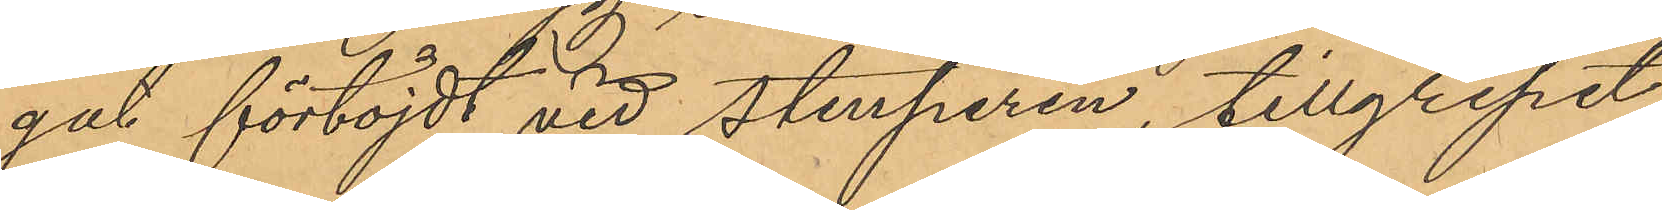gat förtöjdt vid Stenpiren, tillgripit
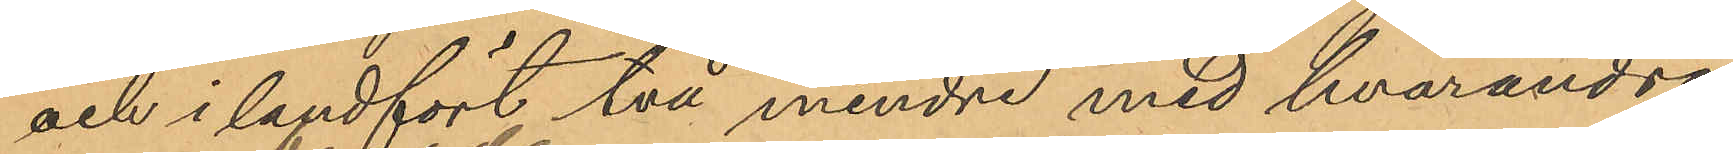och i landfört två mindre med hvarandra
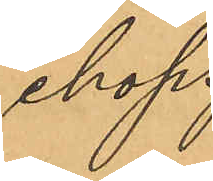ihop¬
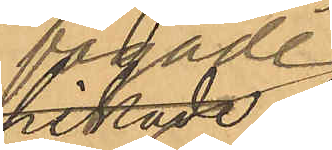fogade
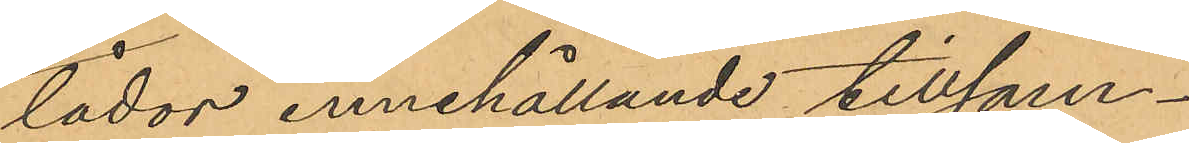lådor innehållande tillsam¬
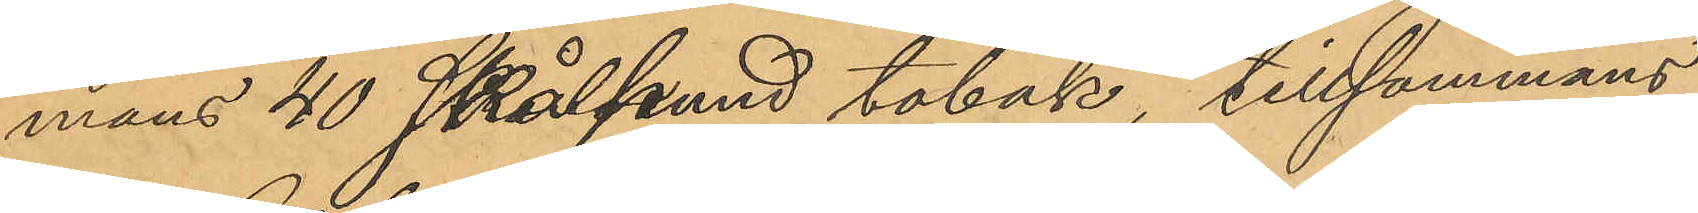mans 40 skålpund tobak, tillsammans
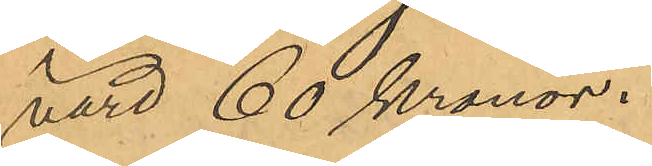värd 60 kronor.
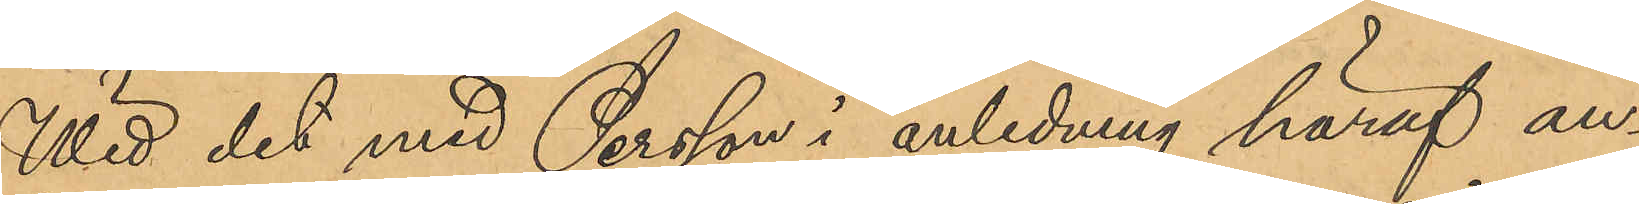Wid det med Persson i anledning häraf an¬
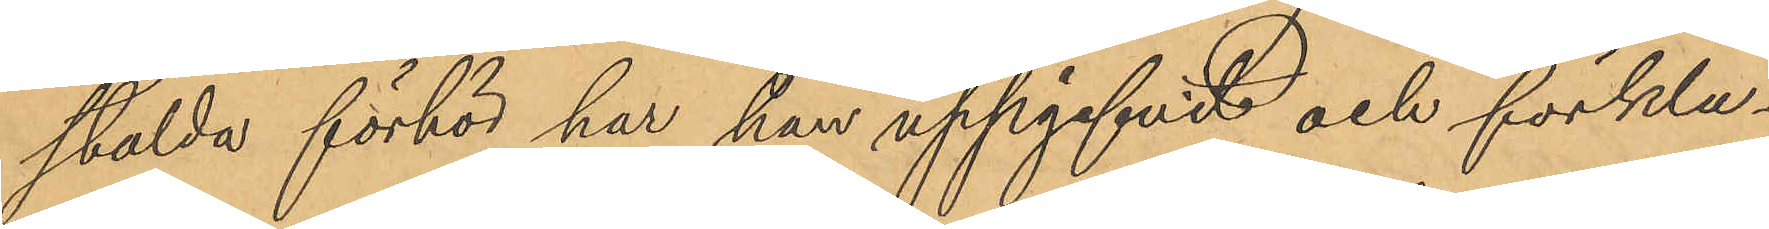stälda förhör har han uppgifvit och förkla¬
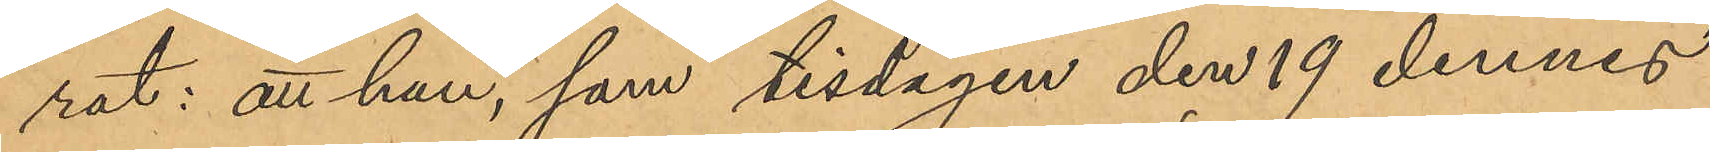rat: att han, som tisdagen den 19 dennes
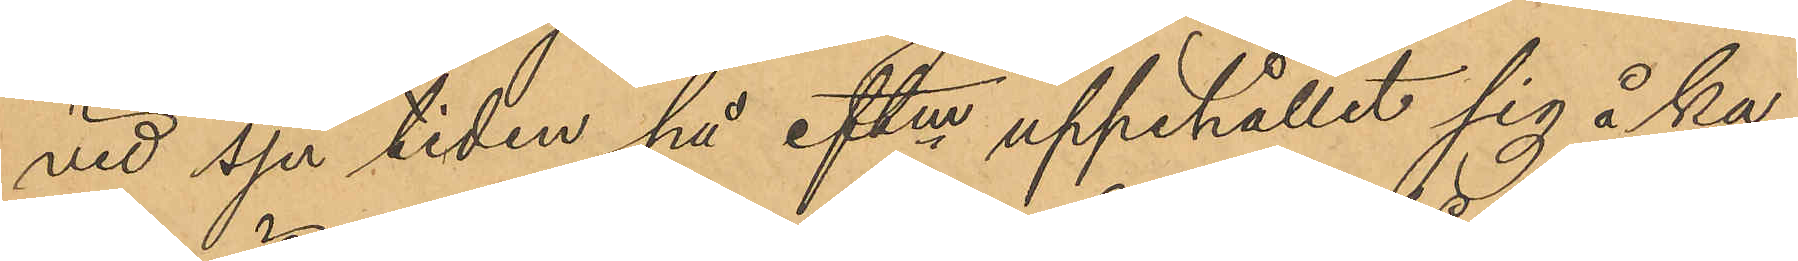vid sju tiden på eftm uppehållit sig å ka¬
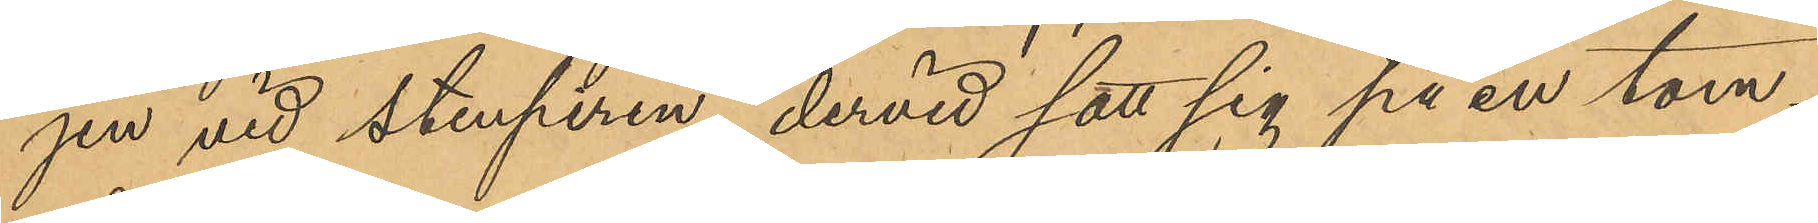jen vid Stenpiren, dervid satt sig på en tom
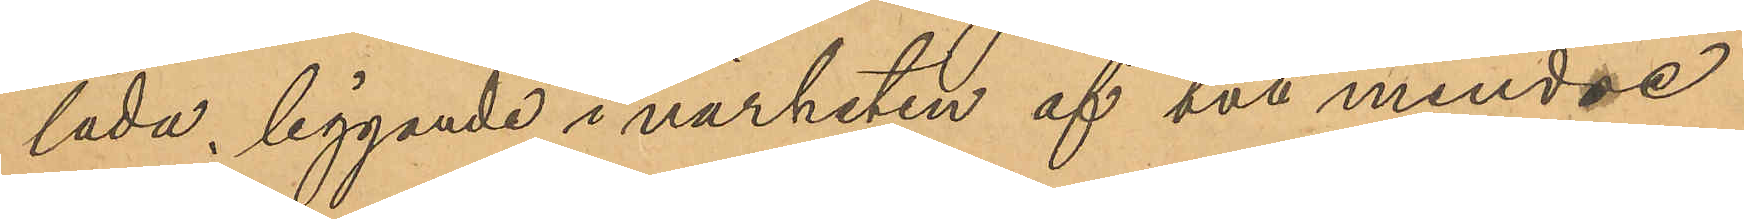låda, liggande i närheten af två mindre
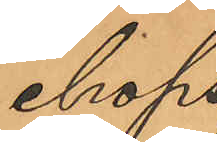ihop¬
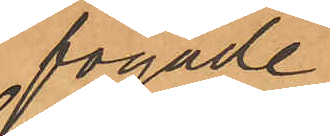fogade
